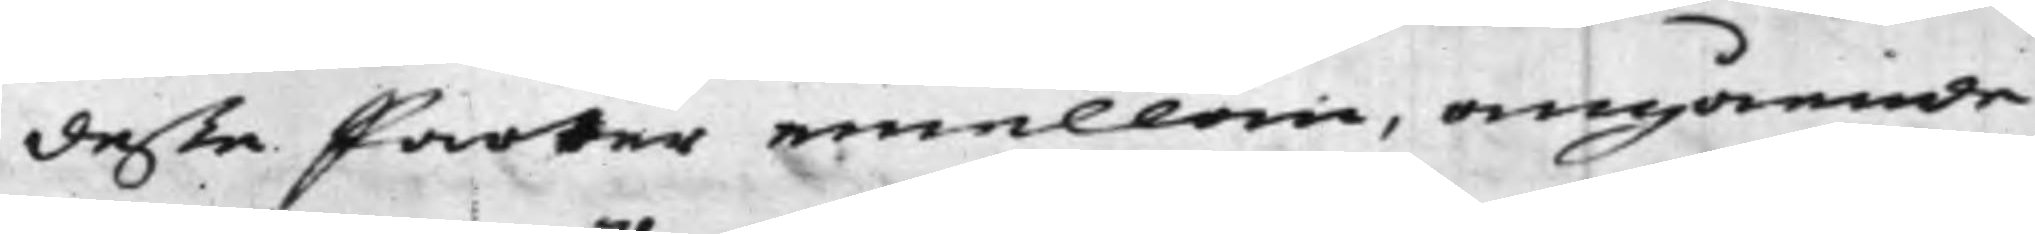deße Parter emellan, angående
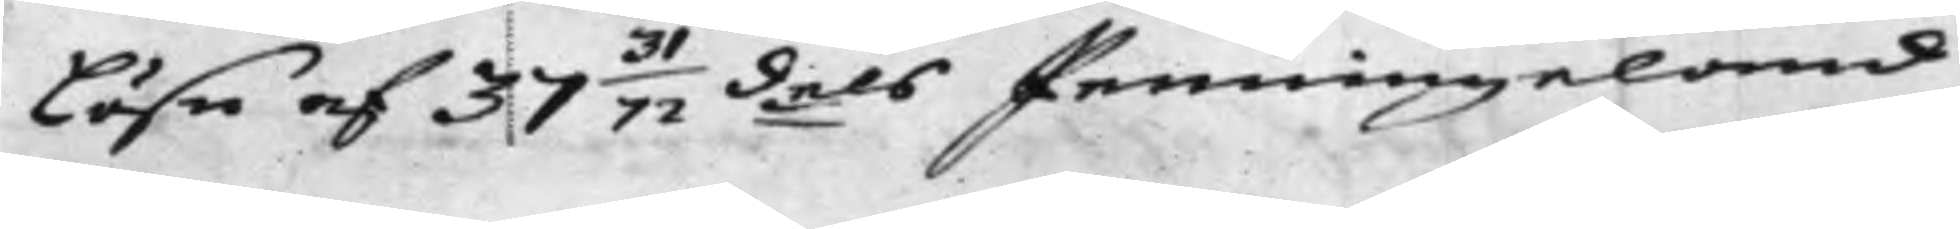Lösn af 37 31/72:dels Penningeland
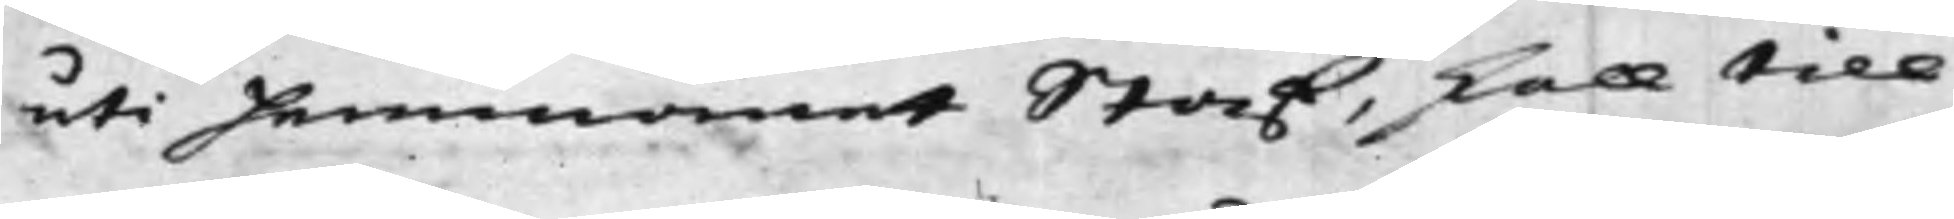uti Hemmanet Staf, skall till
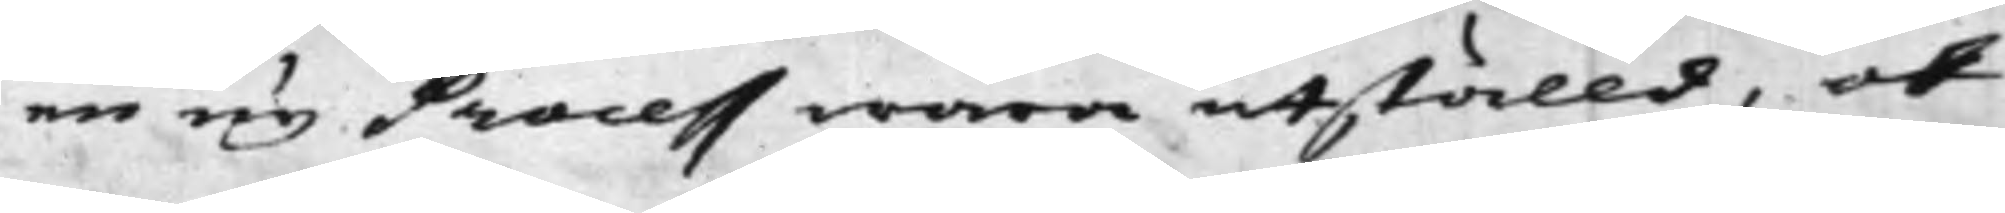en ny Process wara utställd, och
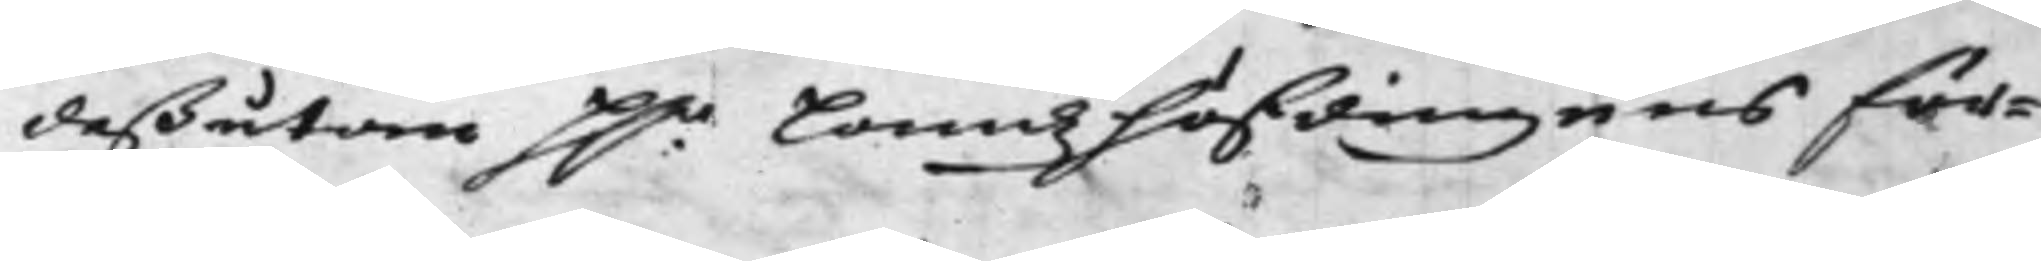deßutom H.r Landzhöfdingens för¬
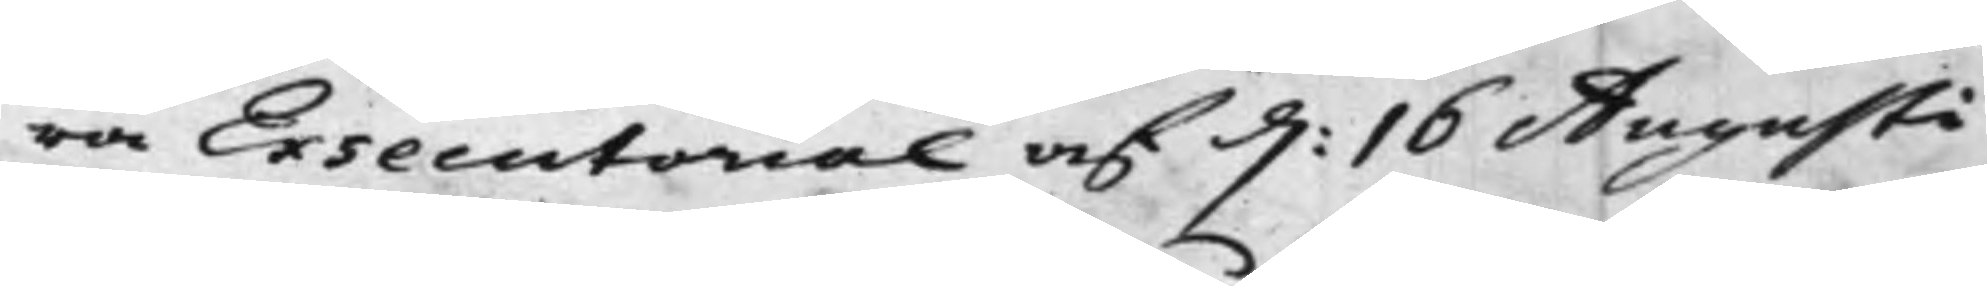ra Exsecutorial af d: 16 Augusti
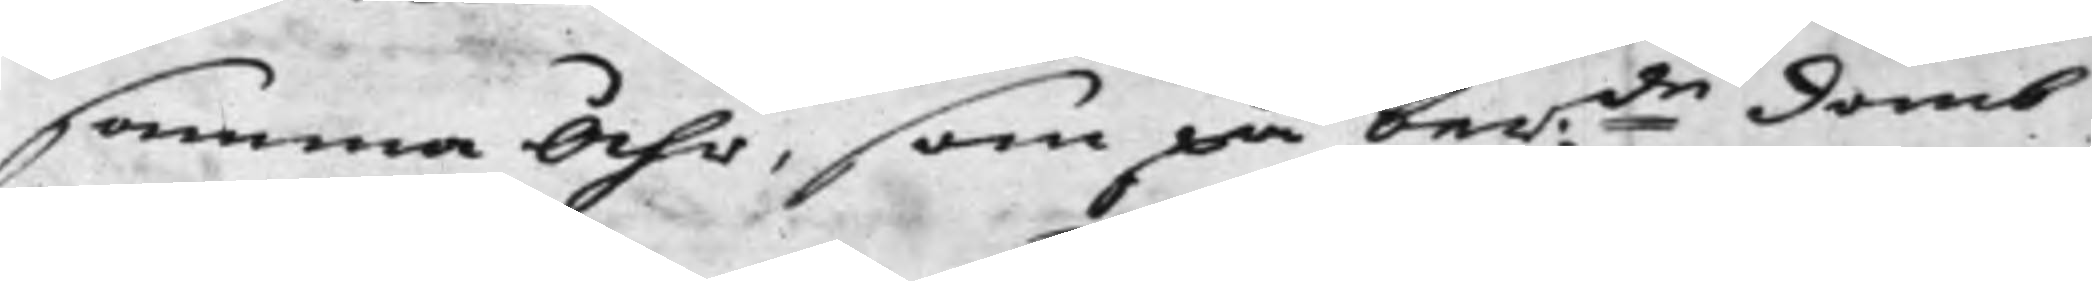samma Åhr, som på ber:de domb
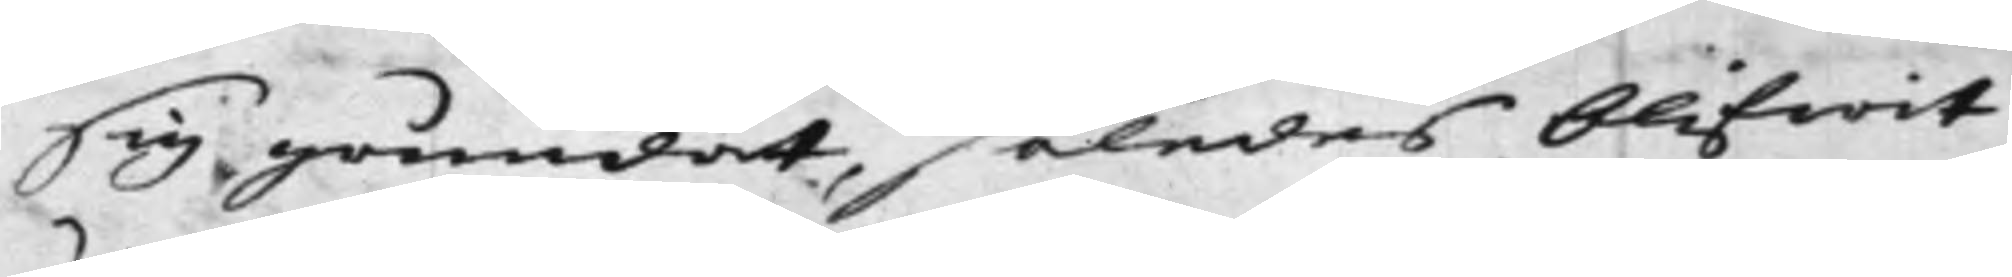sig grundat, således blifwit
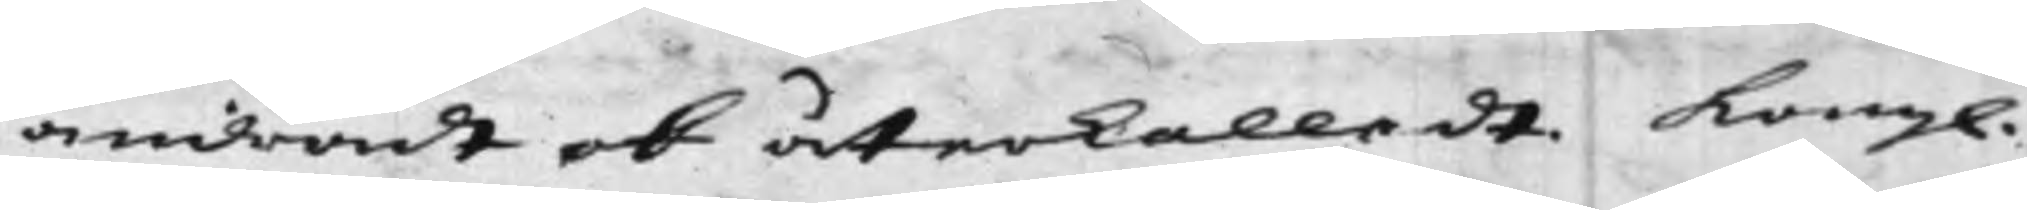ändradt och återkalladt. Kongl.
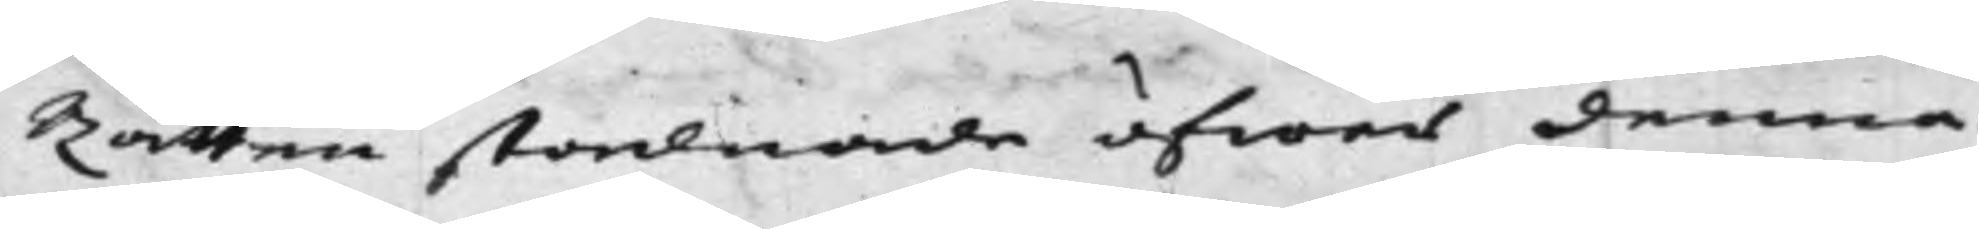Rätten stadnade öfwer denna
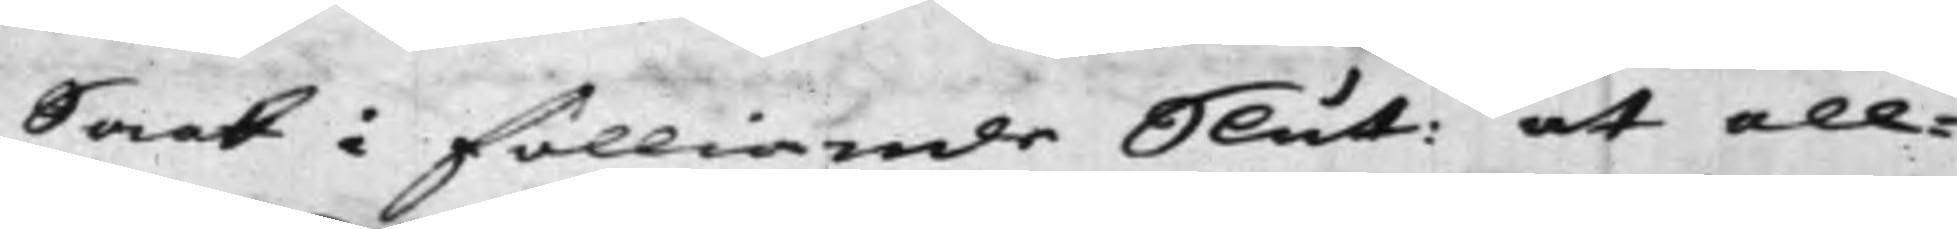Saak i fölliande Slut: at all¬
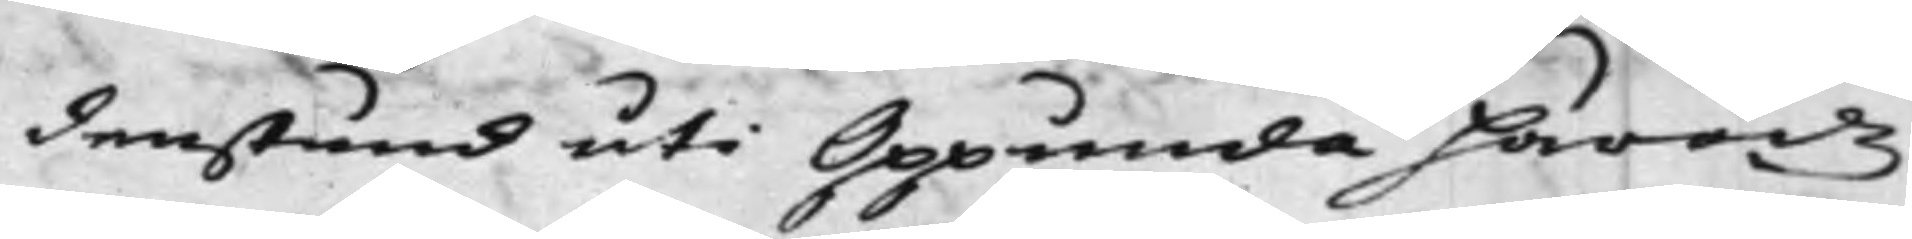denstund uti Oppunda häradz
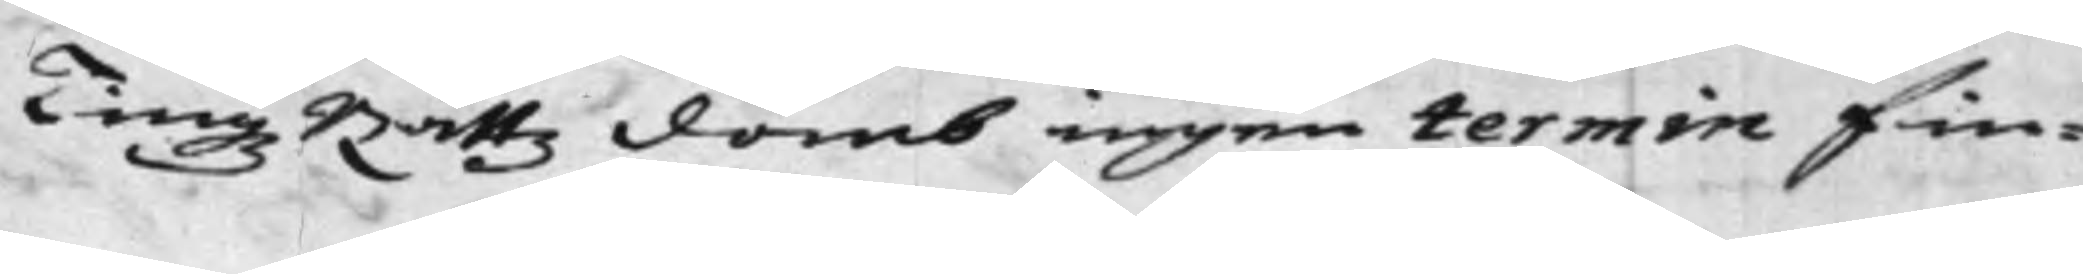TingsRättz domb ingen termin fin¬
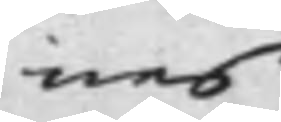nes
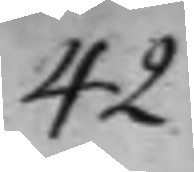42.
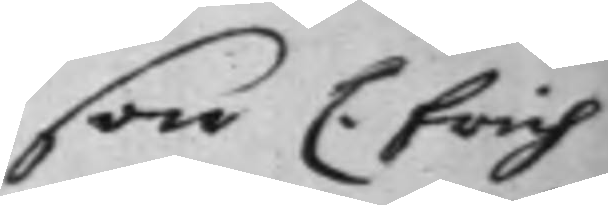son C. Erich
